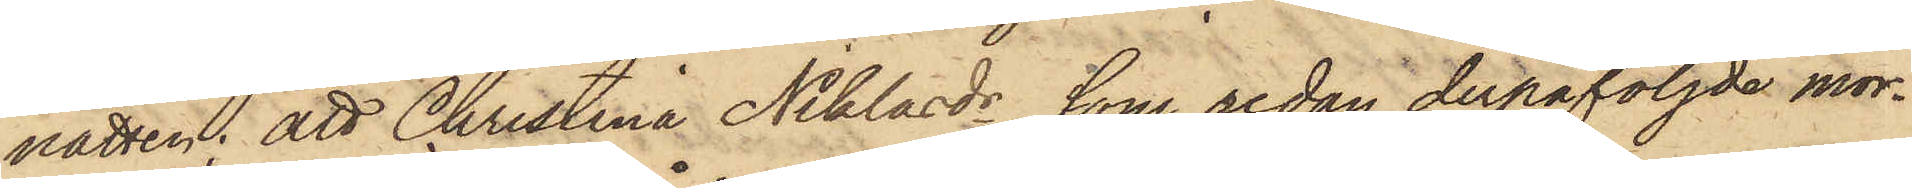natten; att Christina Niklasdr, som redan derpåföljde mor¬
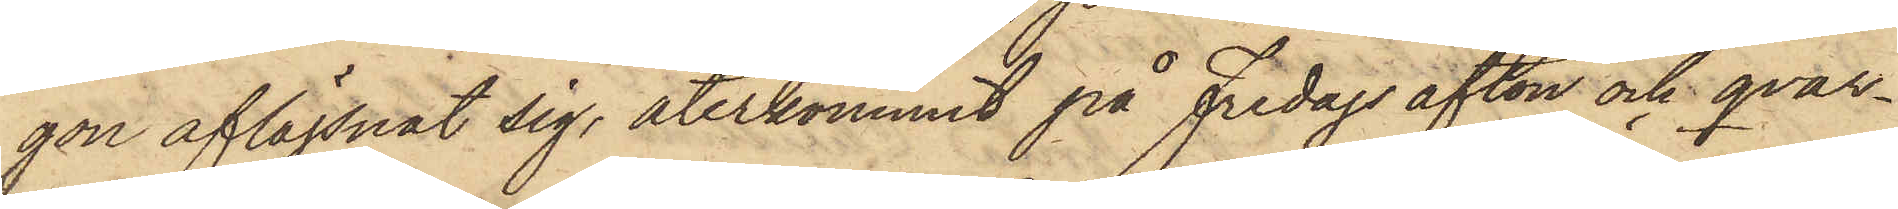gon aflägsnat sig, återkommit på Fredags afton och qvar¬
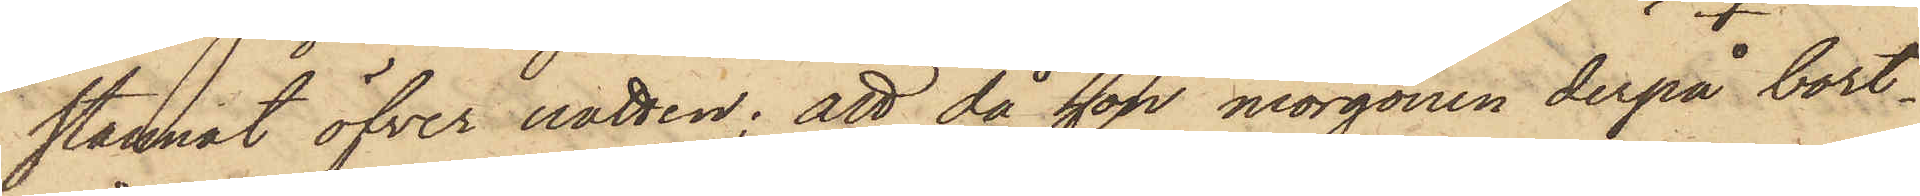stannat öfver natten; att då hon morgonen derpå bort¬
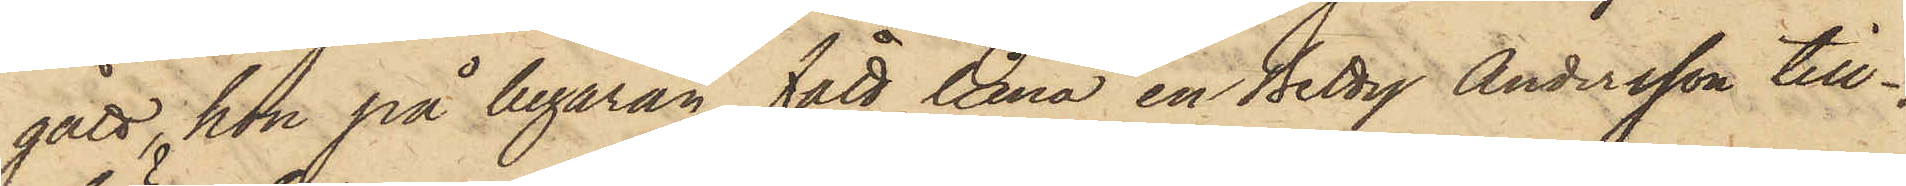gått, hon på begäran fått låna en Betty Andersson till¬
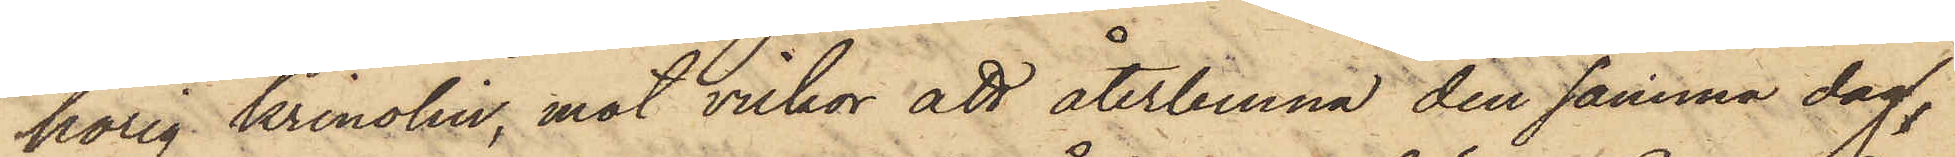hörig krinolin, mot vilkor att återlemna den samma dag,
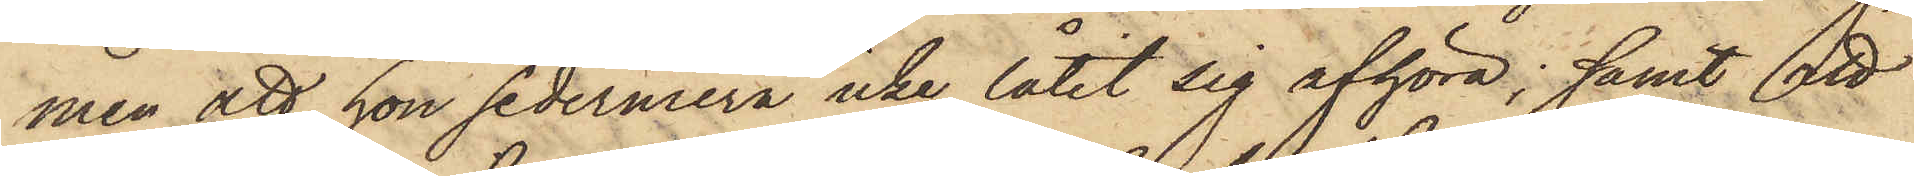men att hon sedermera icke låtit sig afhöra; samt att
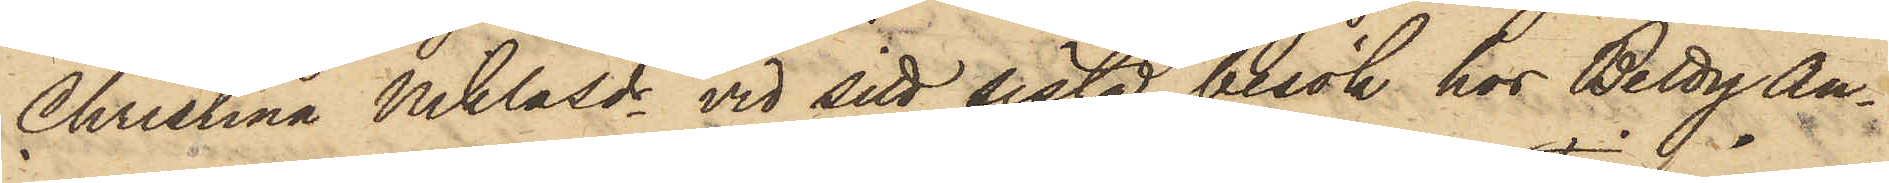Christina Niklasdr vid sitt sista besök hos Betty An¬
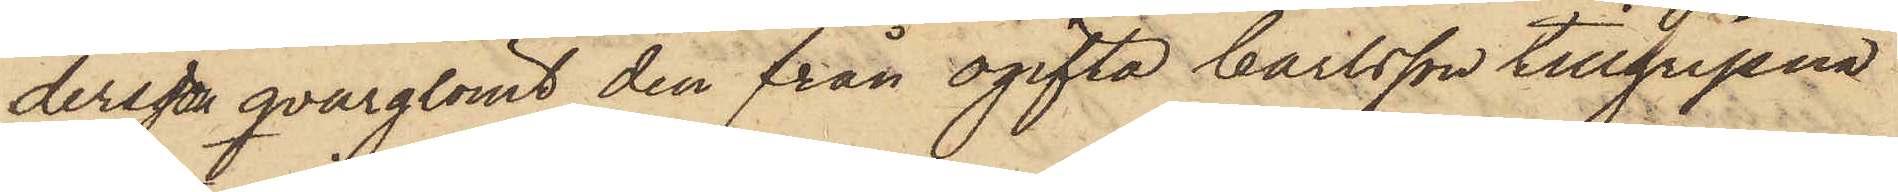dersson qvarglömt den från ogifta Carlsson tillgripna
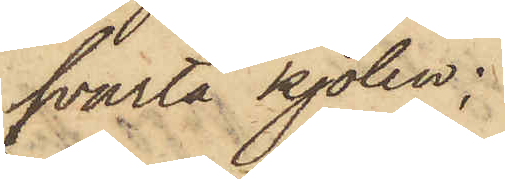svarta kjolen;
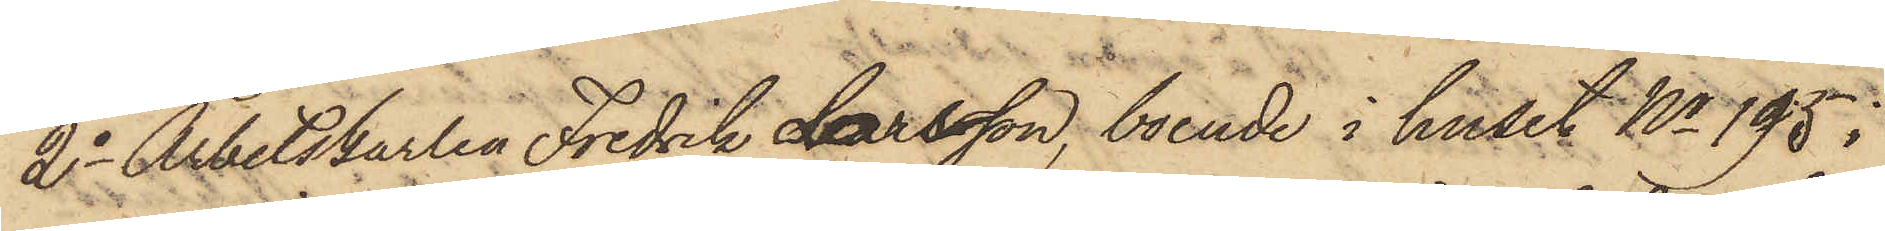2o Arbetskarlen Fredrik Larsson, boende i huset No 195 i
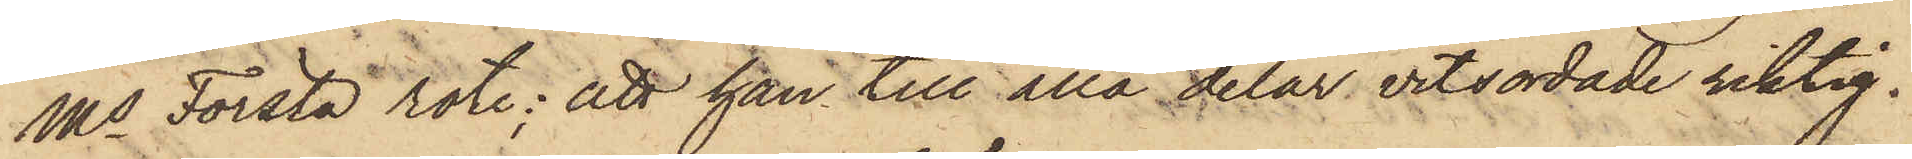Ms Första rote; att han till alla delar vitsordade riktig¬
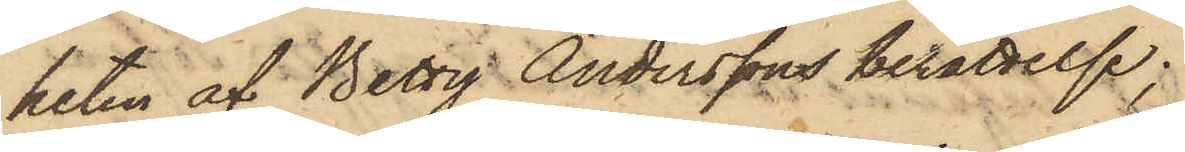heten af Betty Anderssons berättelse;
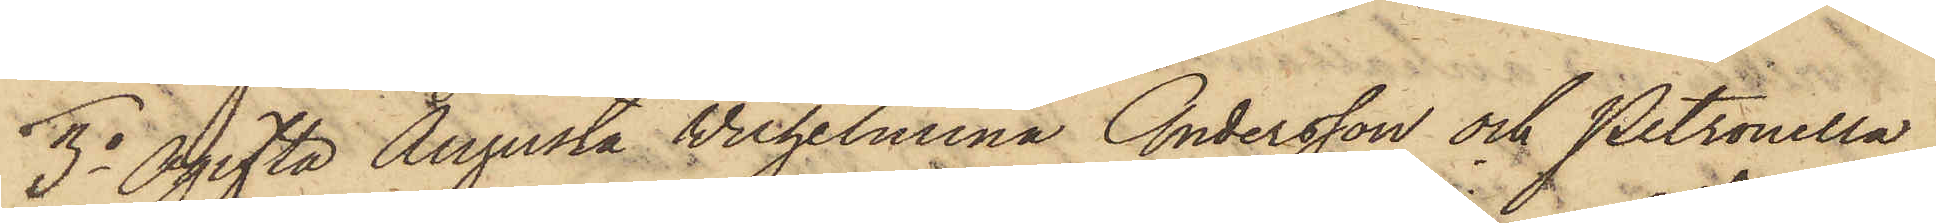3o Ogifta Augusta Wilhelmina Andersson och Petronella
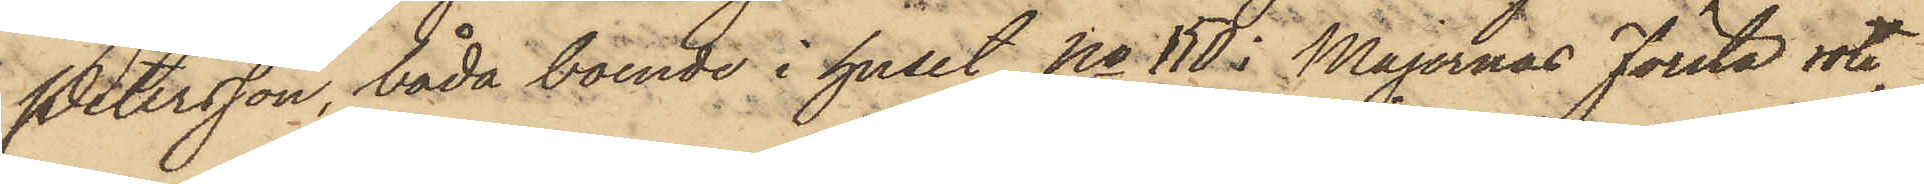Petersson, båda boende i huset No 150 i Majornas Första rote,
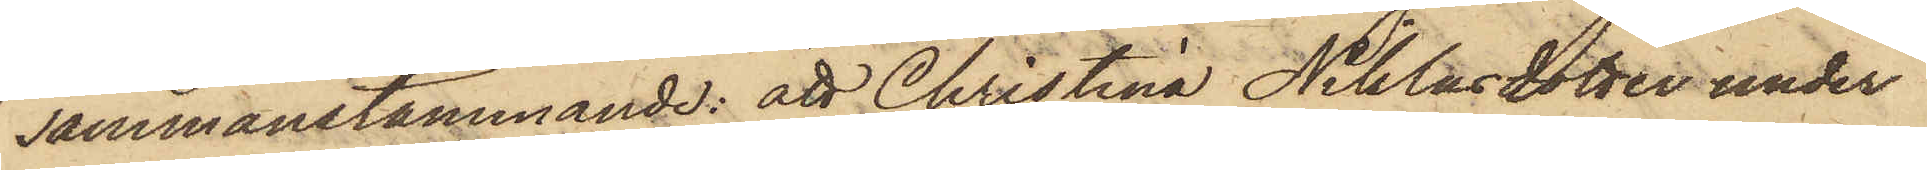sammanstämmande: att Christina Niklasdotter under
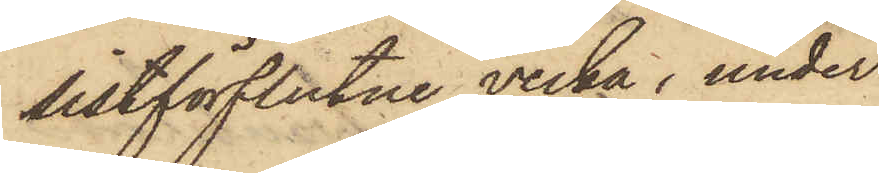sistförflutne vecka, under
